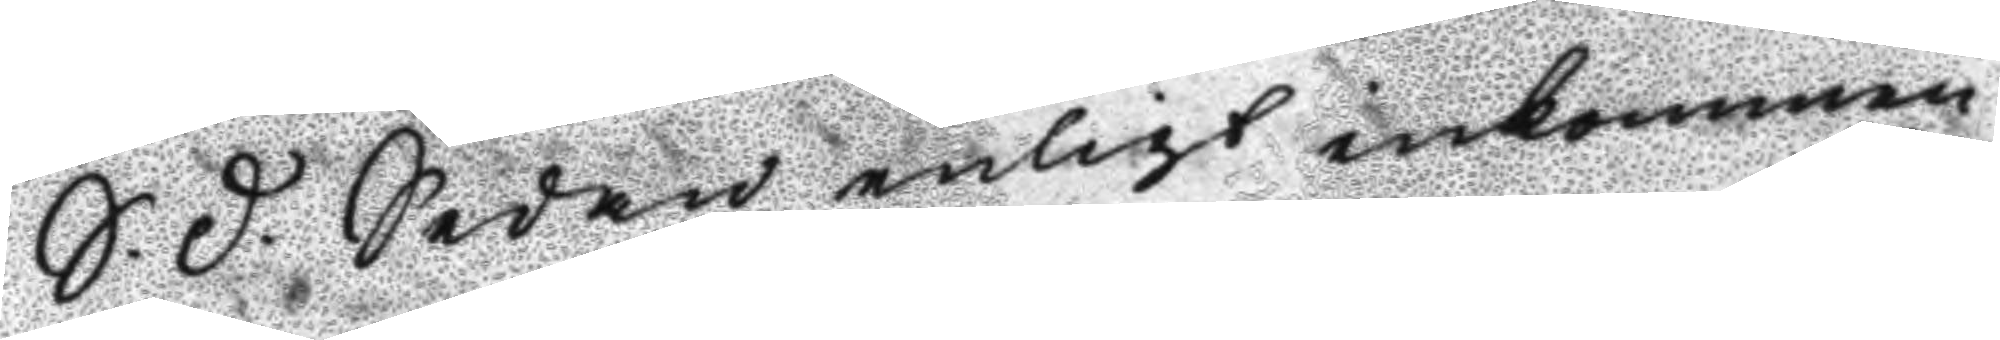S.D. sedan enligt inkommen
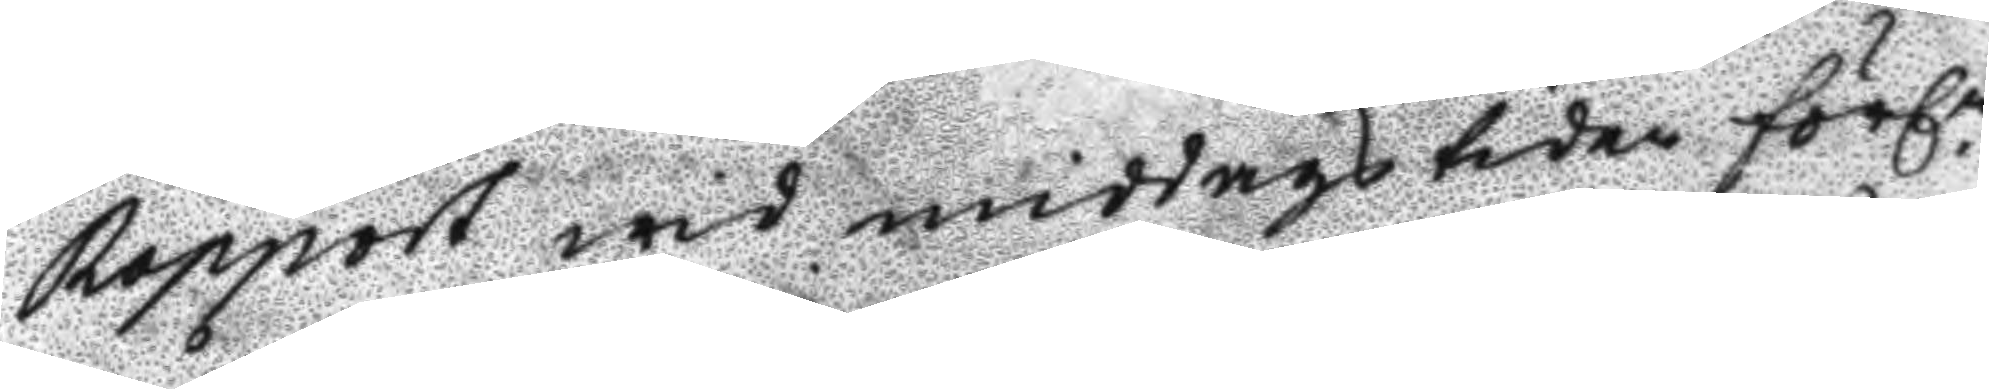Rapport wid middagstiden förl.n
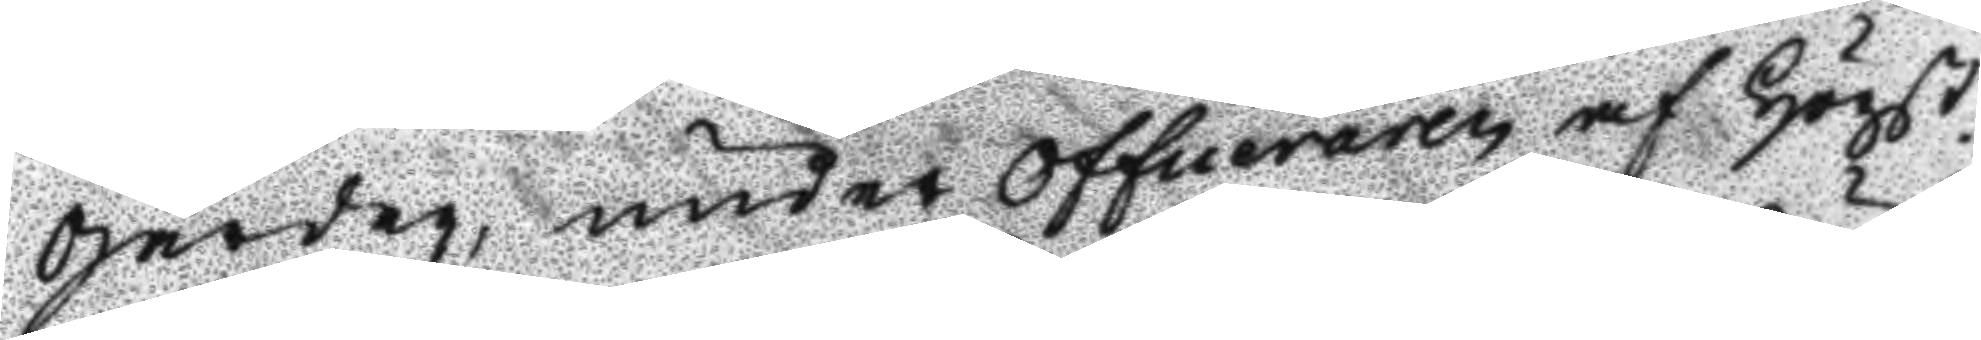gårdag, under officeraren af Högst
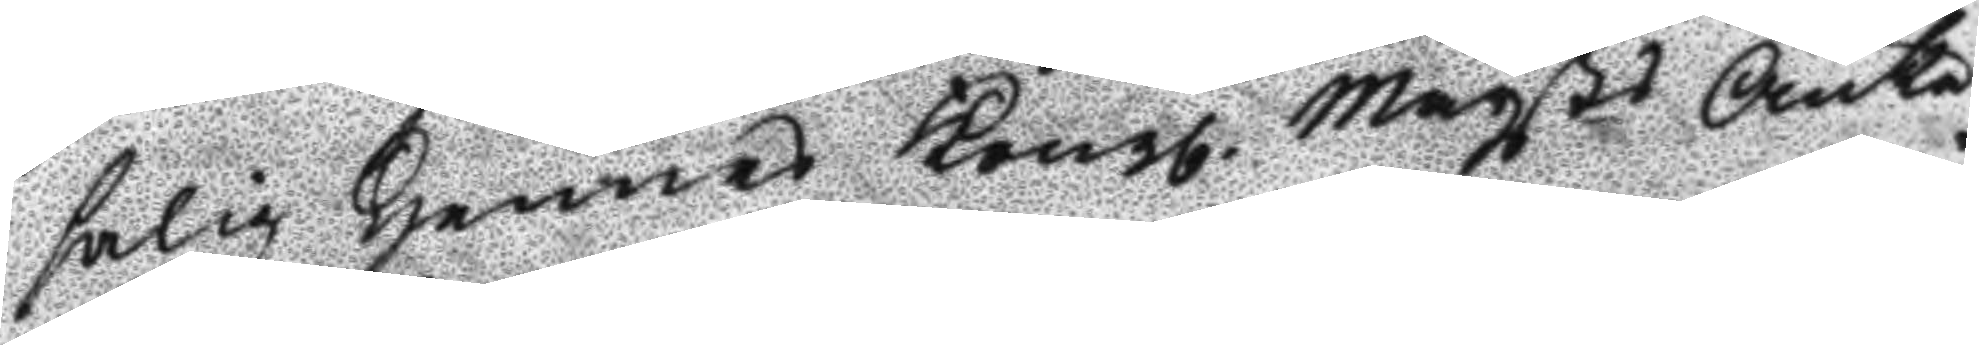salig Hennes Kongl. Maysts Änke¬
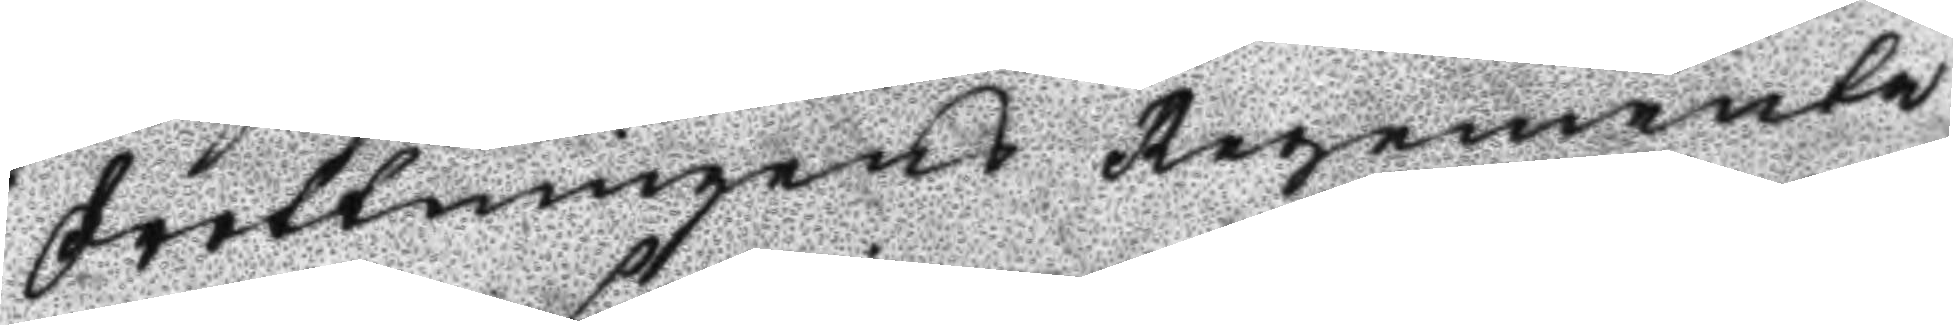drottningens Regemente
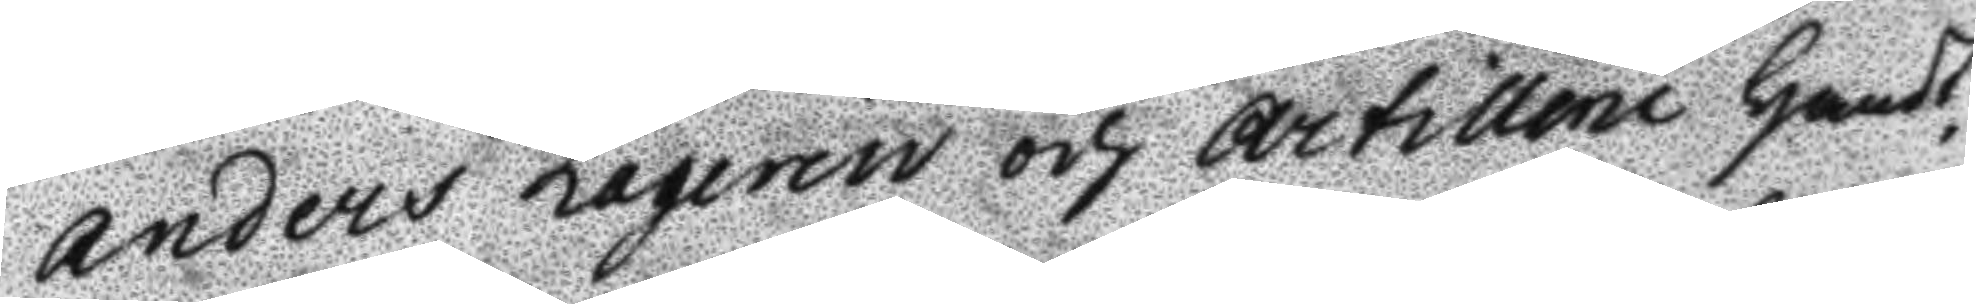Anders Laqerin och Artillerie Handt¬
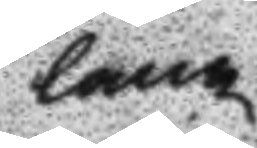lang
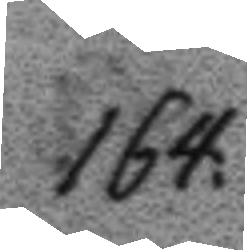164.
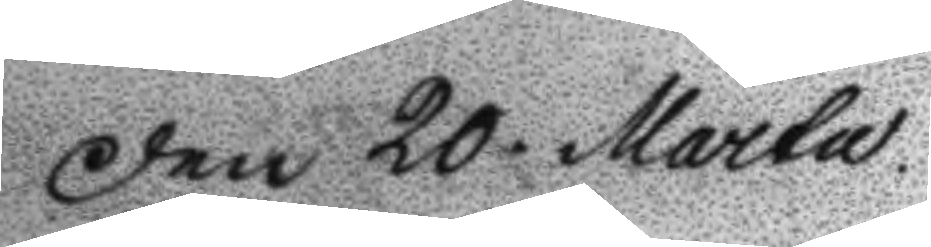Den 20. Martu
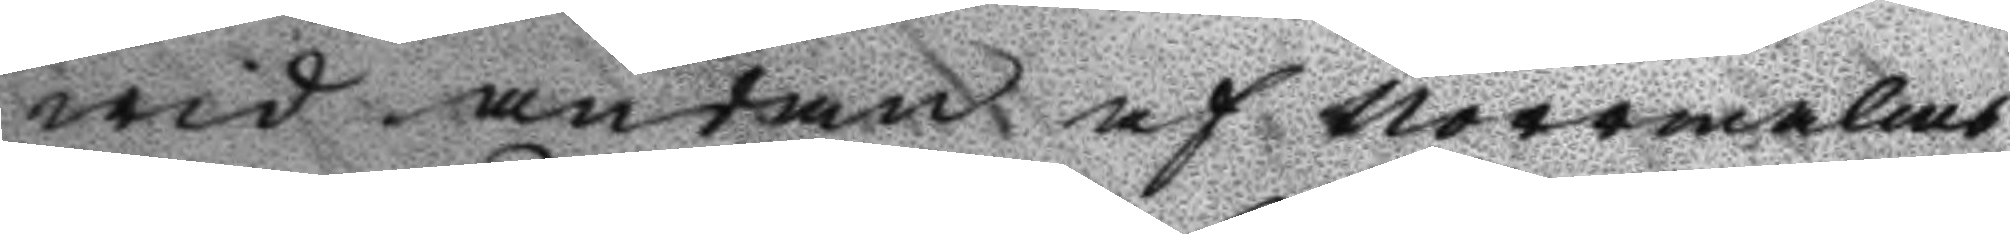wid äntan af Norrmalms
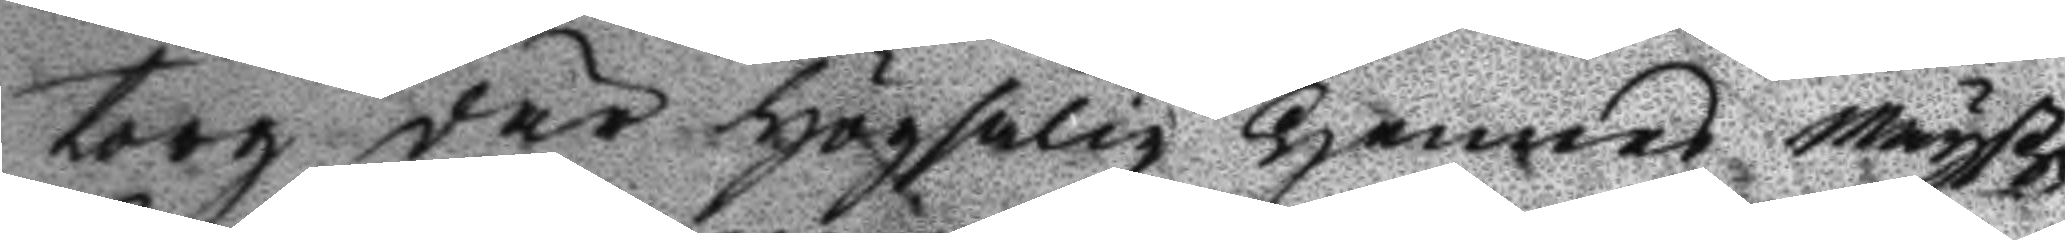torg där högsalig Hennes Mayst
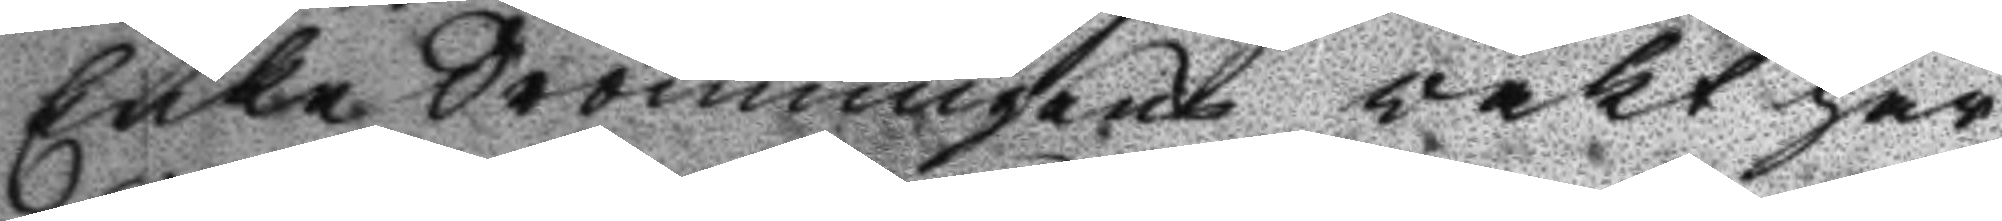Enke Dronningens vakt har
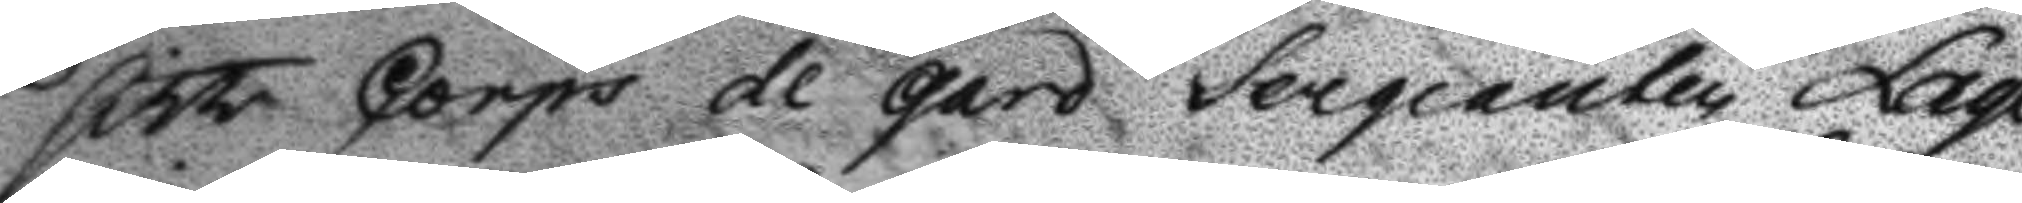sitt Corps de gard Sergeanten Laqe¬
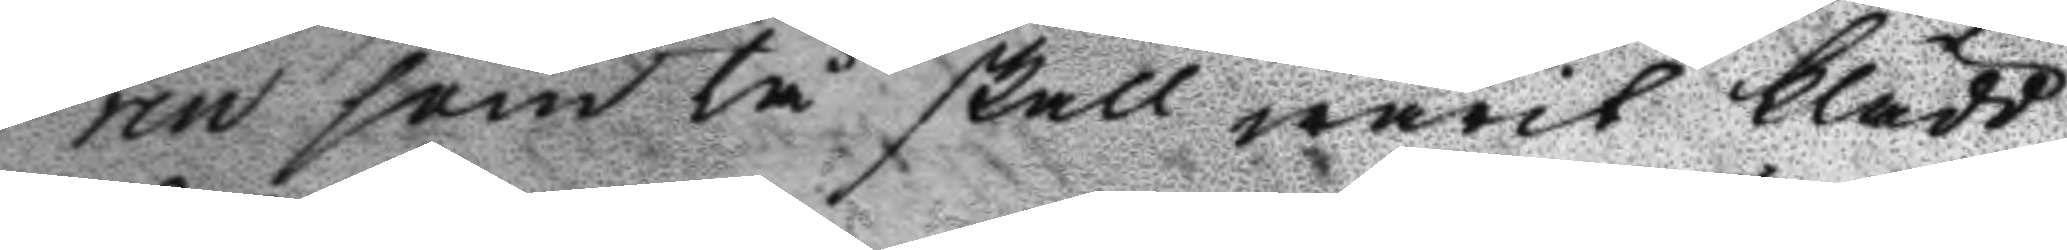rin som tå skall warit klädd
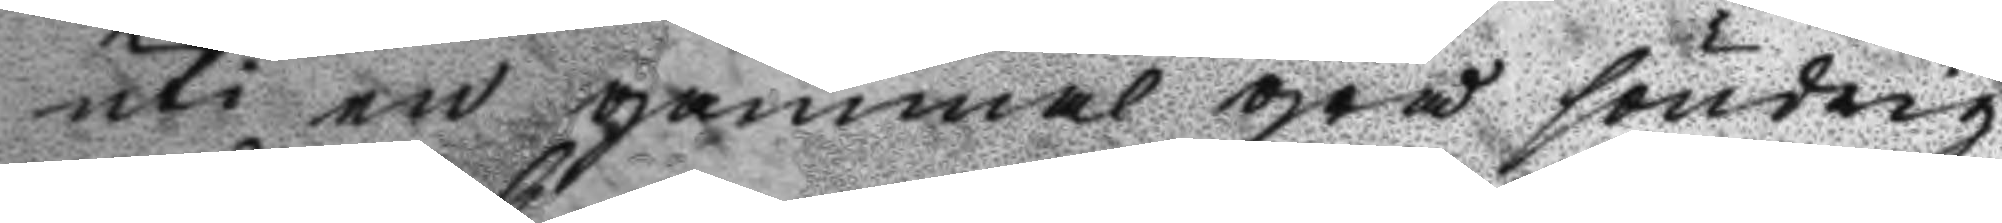uti en gammal grå söndrig
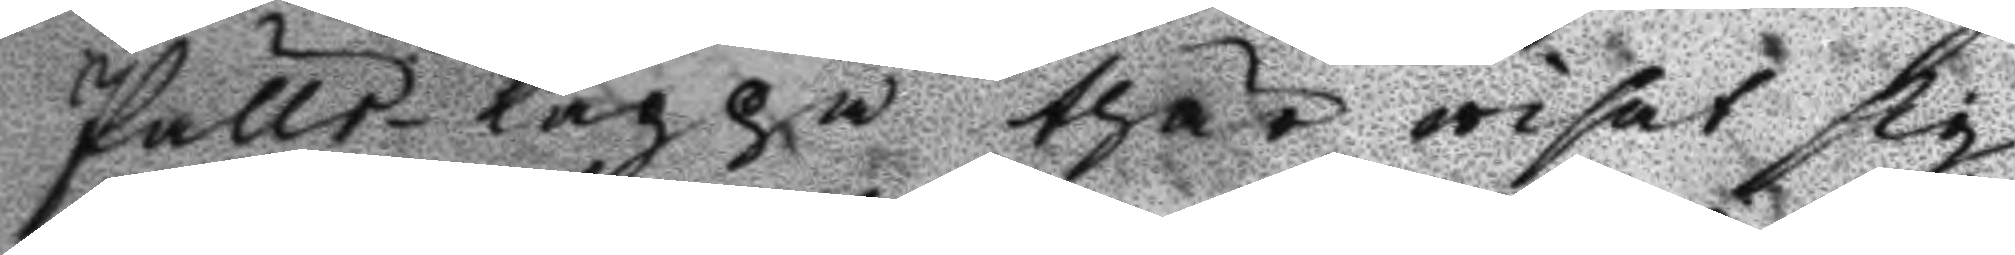Pälle-Kappa thär wisat sig
